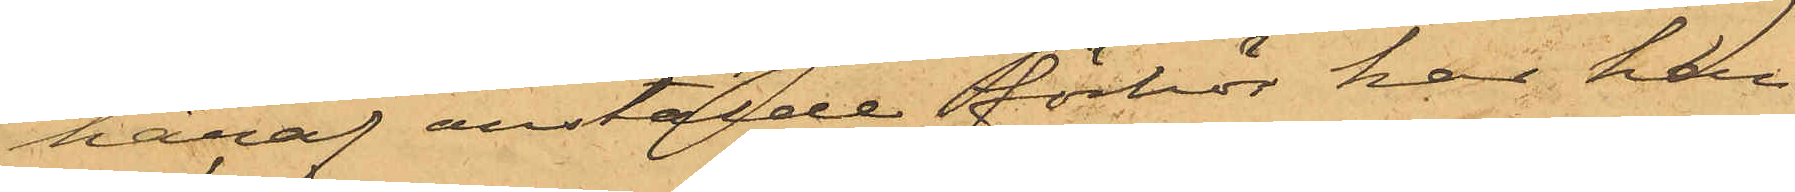häraf anstälde förhör har han
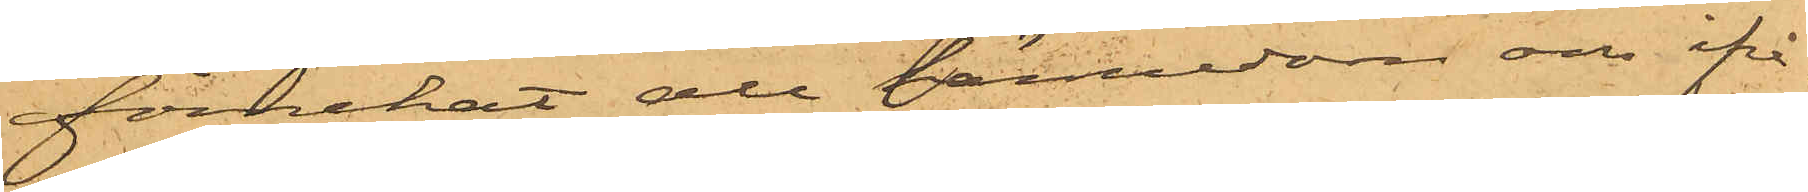förnekat all kännedom om ifrå¬
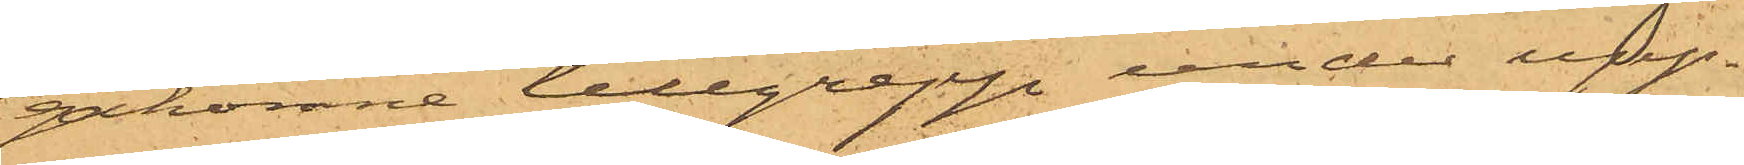gakomne tillgrepp under upp¬
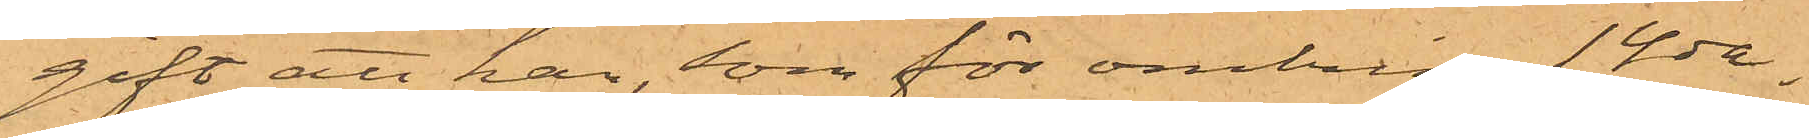gift att han, som för omkring 14 da¬
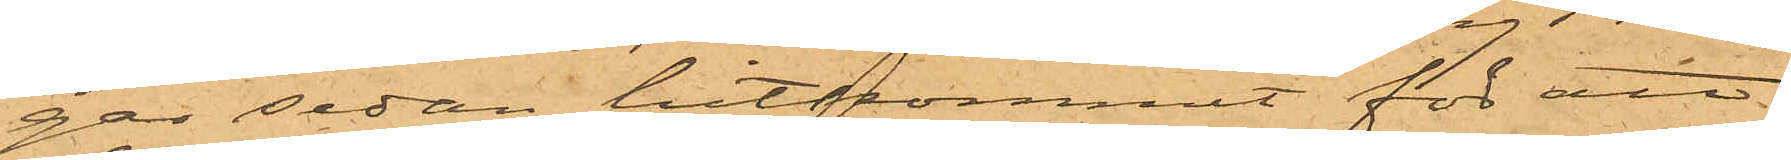gar sedan hitkommit för att
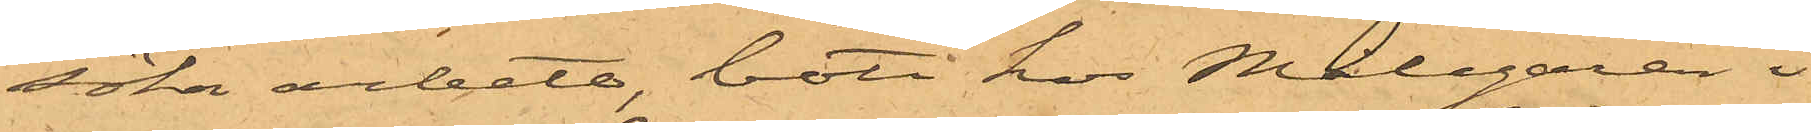söka arbete, bott hos Målegaren i
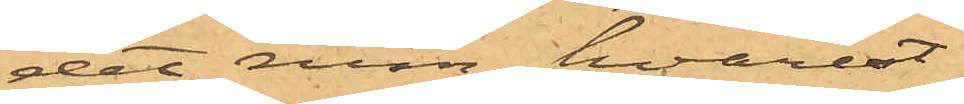det rum, hvarest
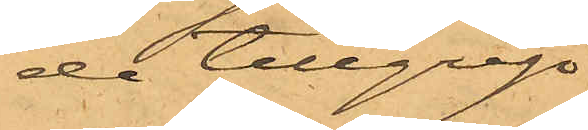de tillgrip¬
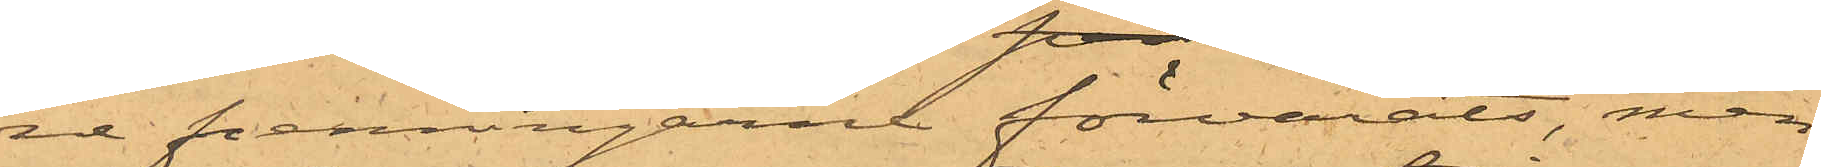ne penningarne förvarats, men
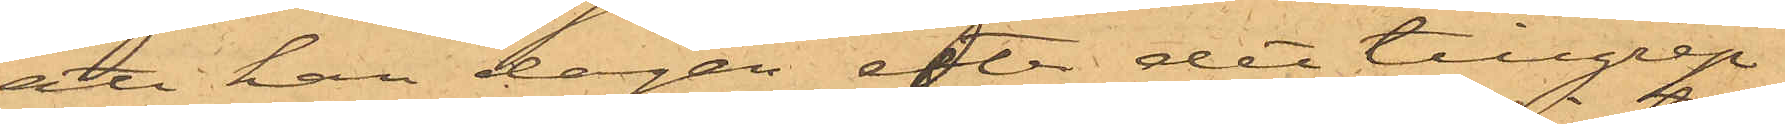att han dagen efter det tillgrep¬
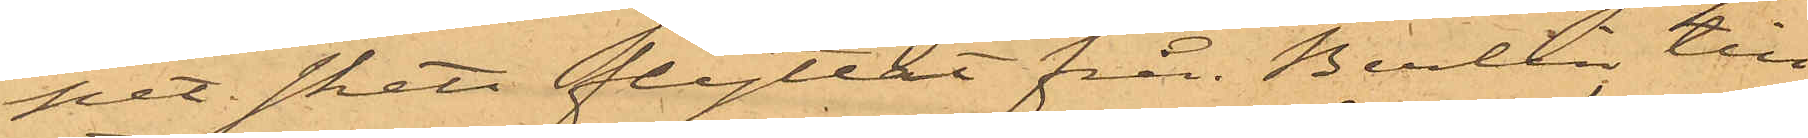pet skett flyttat från Berlin till
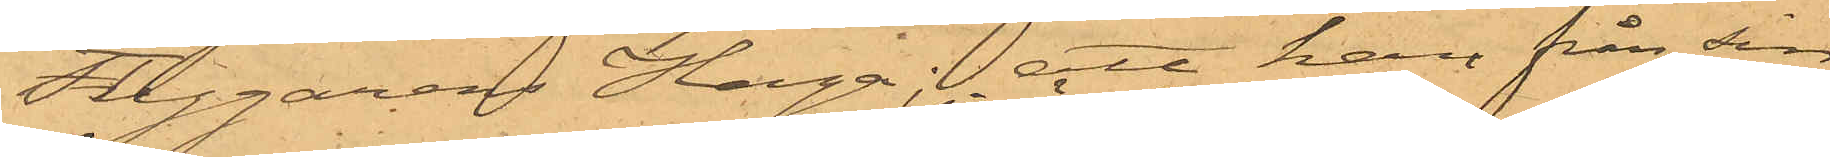Flygarens Haga; att han från sin
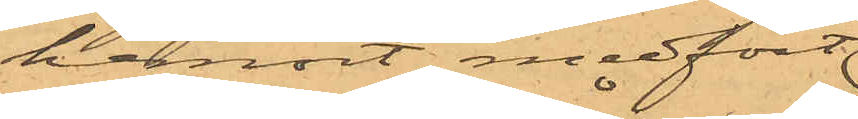hemort medfört
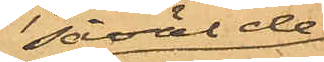såväl de
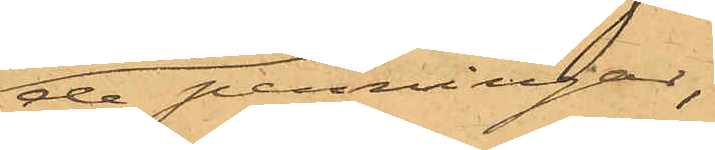de penningar,
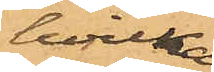hvilka
